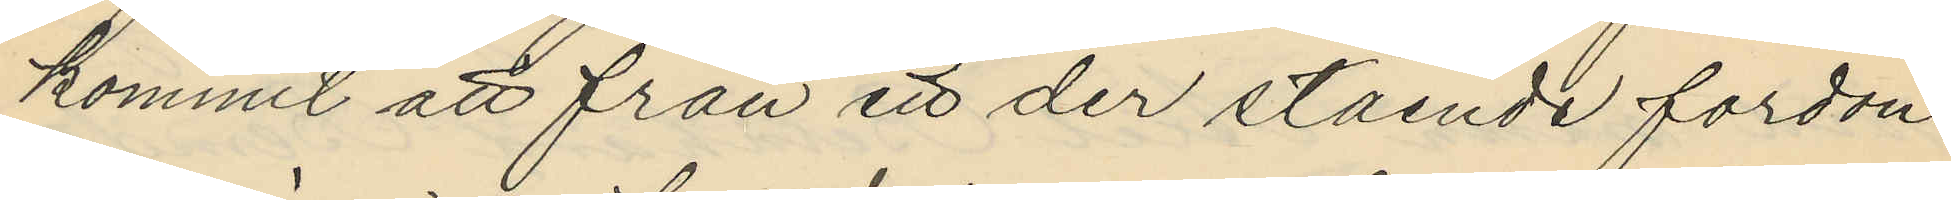kommit att från ett der stående fordon
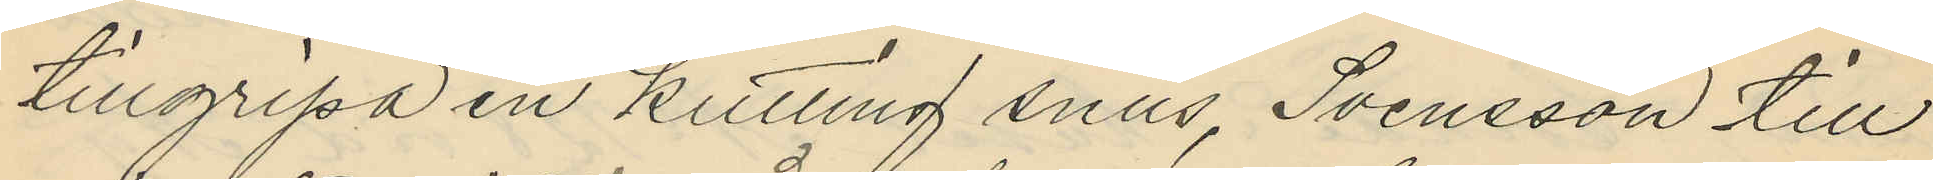tillgripa en kutting snus, Svensson till
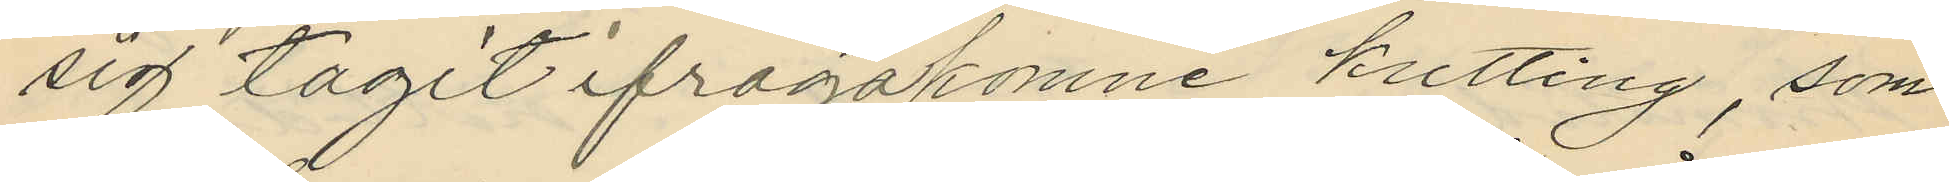sig tagit ifrågakomne kutting, som
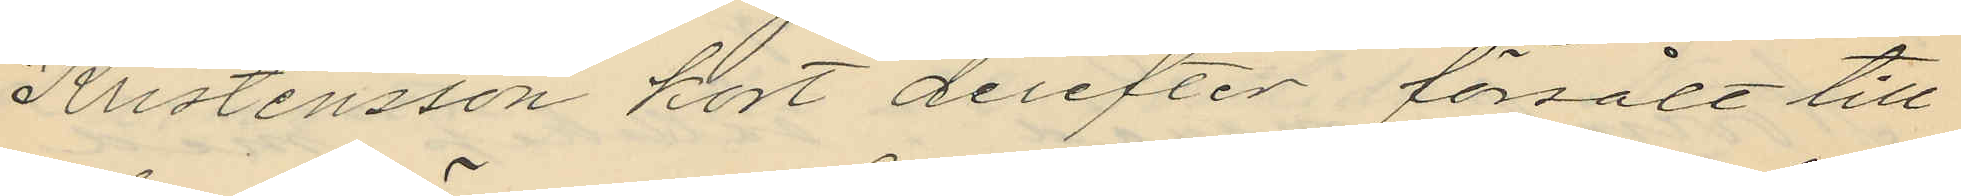Kristensson kort derefter försålt till
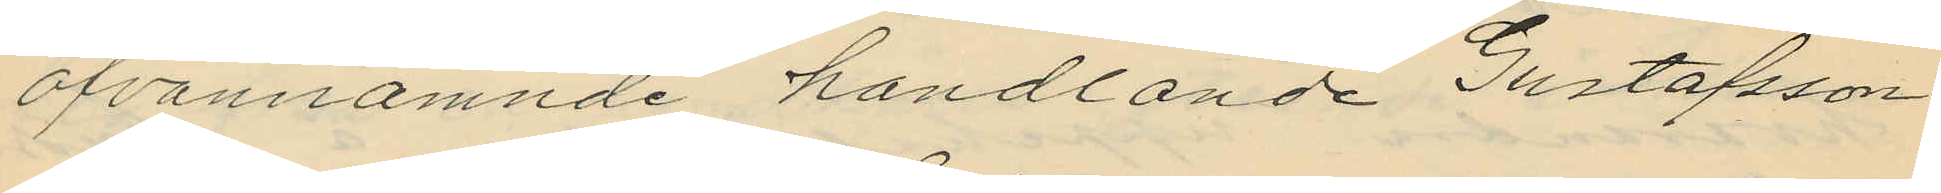ofvannämnde handlande Gustafsson
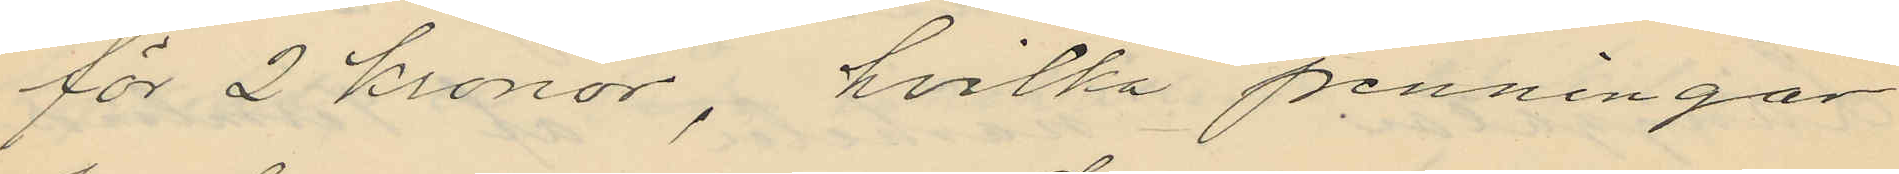för 2 kronor, hvilka penningar
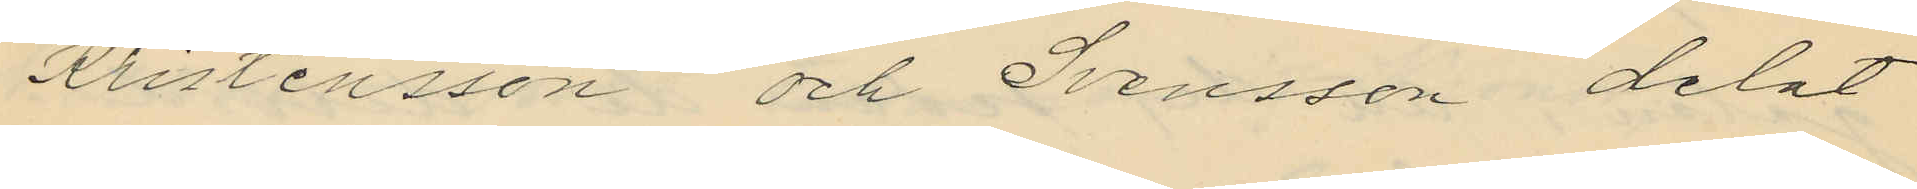Kristensson och Svensson delat
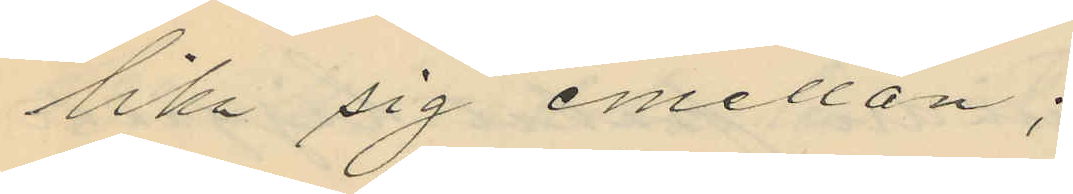lika sig emellan;
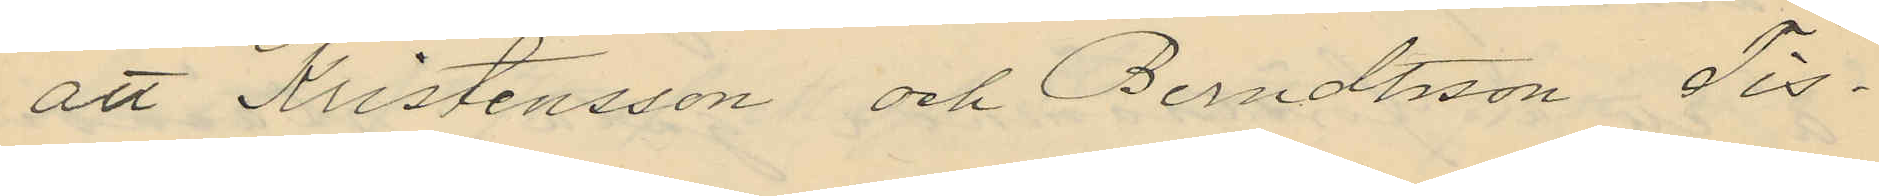att Kristensson och Berndtsson Tis¬
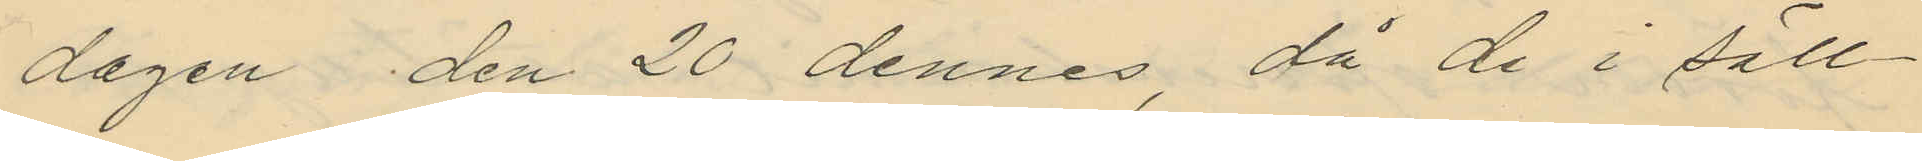dagen den 20 dennes, då de i säll¬
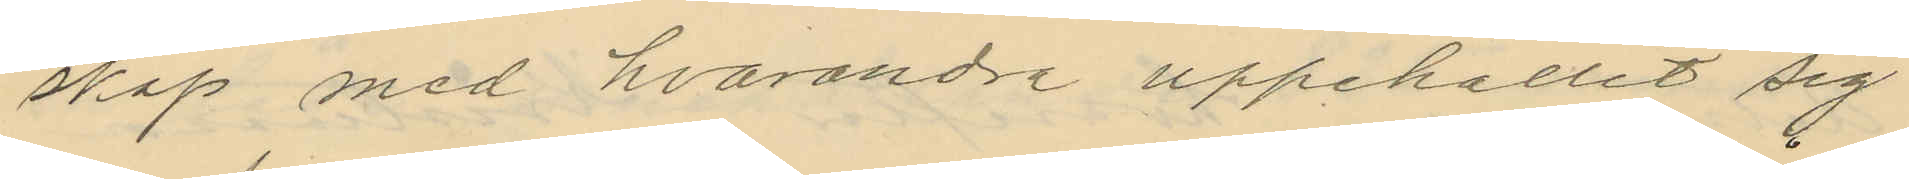skap med hvarandra uppehållit sig
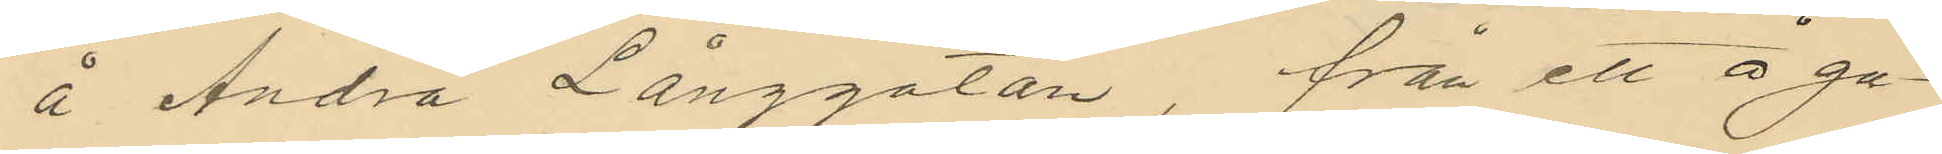å Andra Långgatan, från ett å ga¬
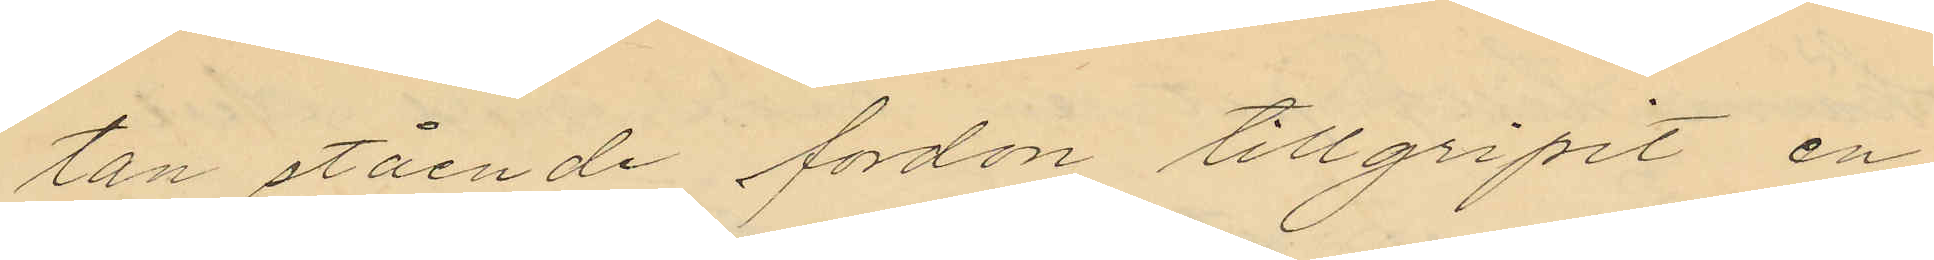tan stående fordon tillgripit en
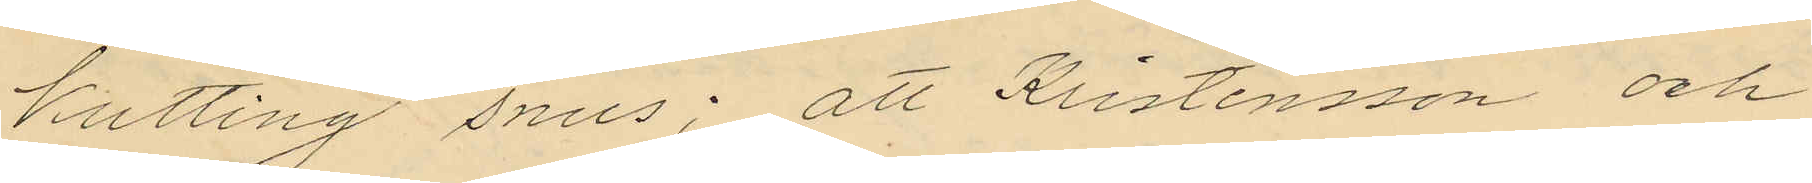kutting snus; att Kristensson och
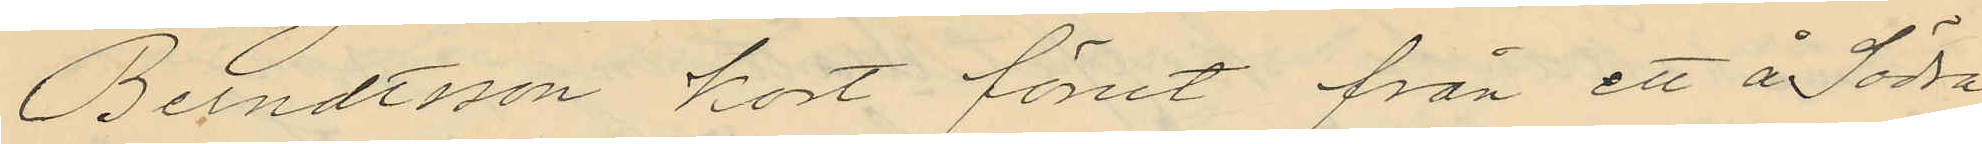Berndtsson kort förut från ett å Södra
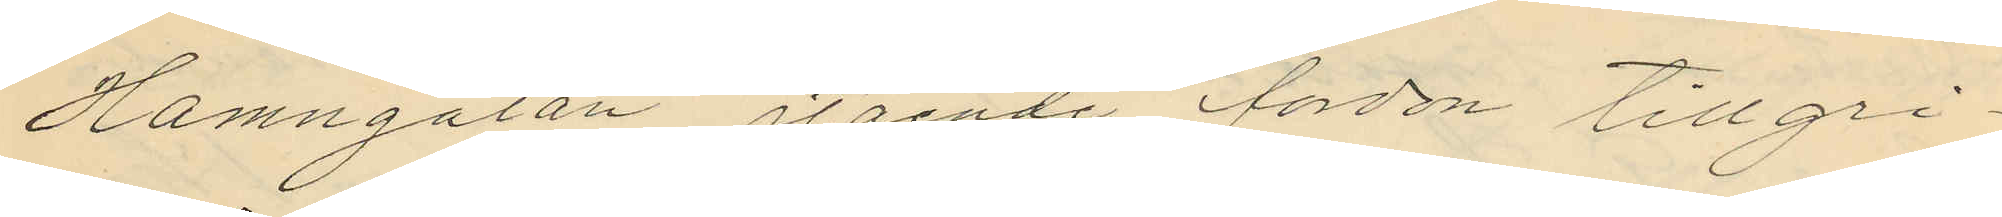Hamngatan stående fordon tillgri¬
